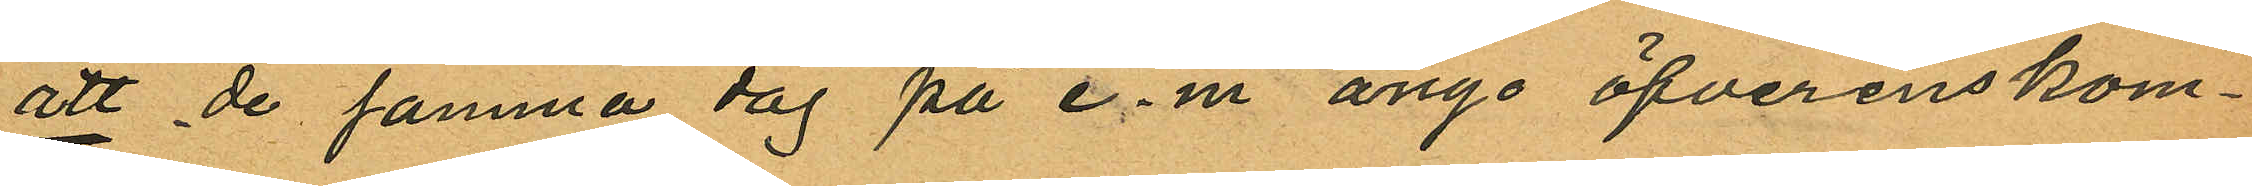att de samma dag på e. m. ånyo öfverenskom¬
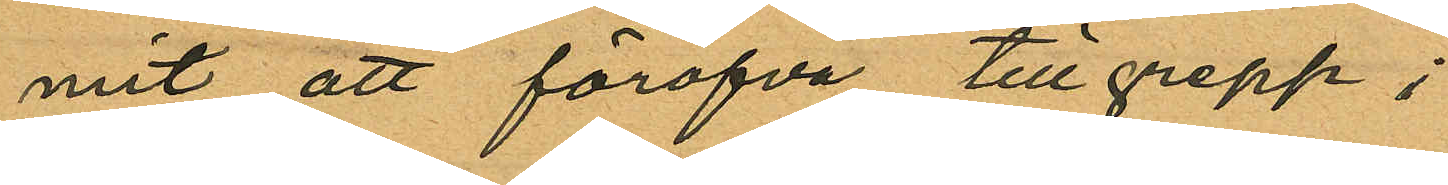mit att föröfva tillgrepp;
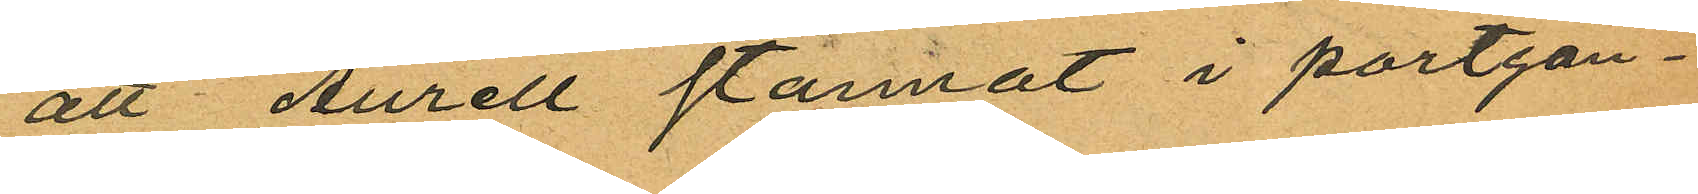att Aurell stannat i portgån¬
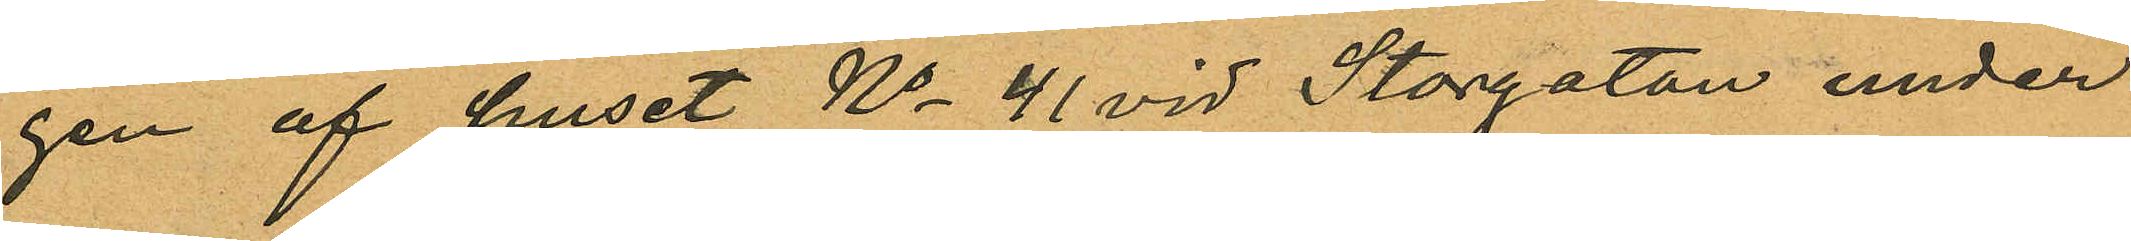gen af huset No 41 vid Storgatan under
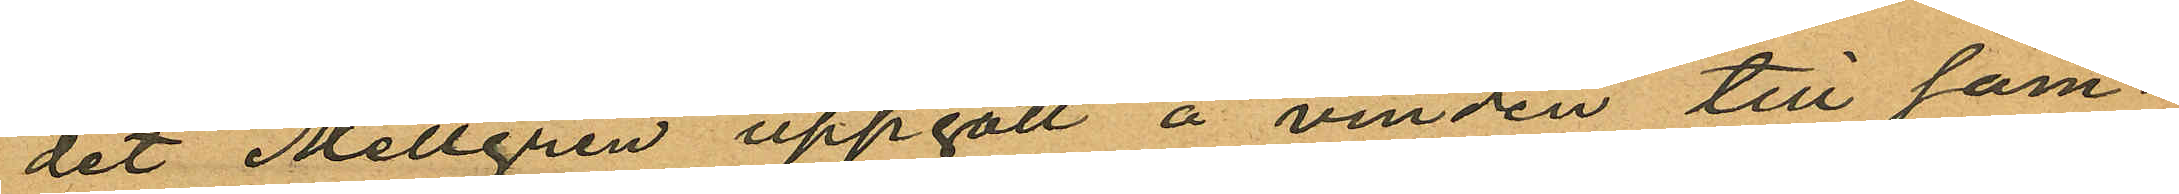det Mellgren uppgått å vinden till sam¬
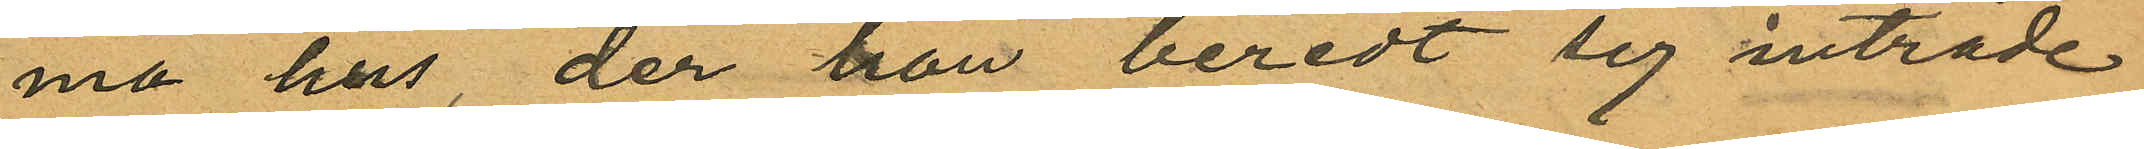ma hus, der han beredt sig inträde
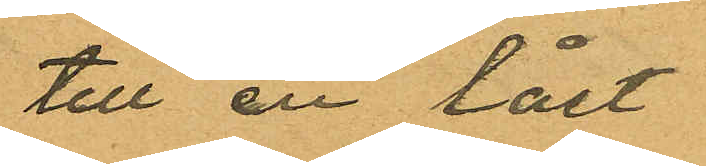till en låst
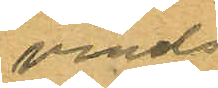vinds
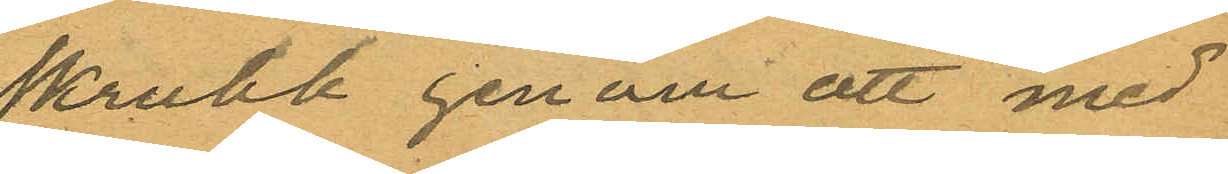skrubb genom att med
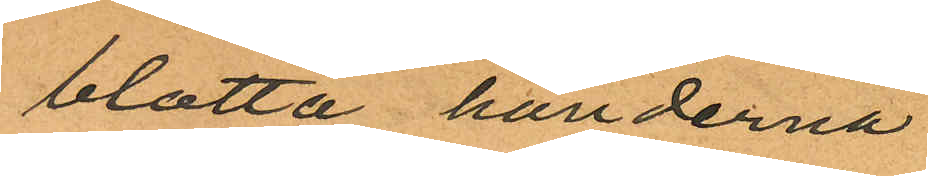blotta händerna
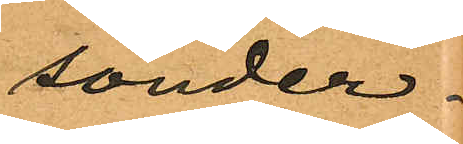sönder¬
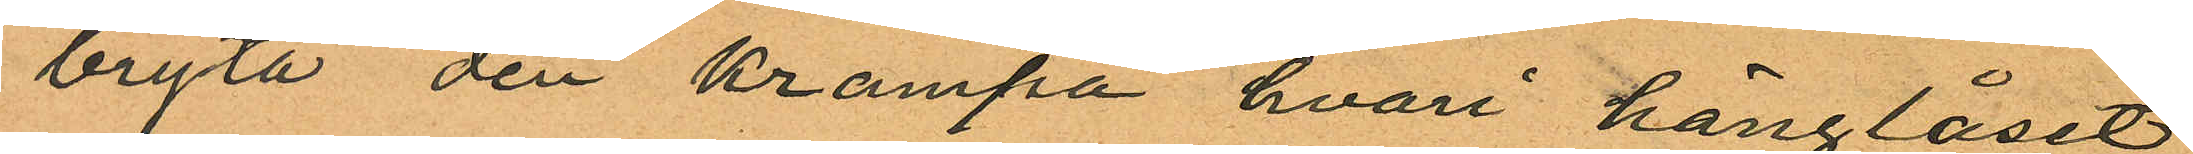bryta den krampa hvari hänglåset
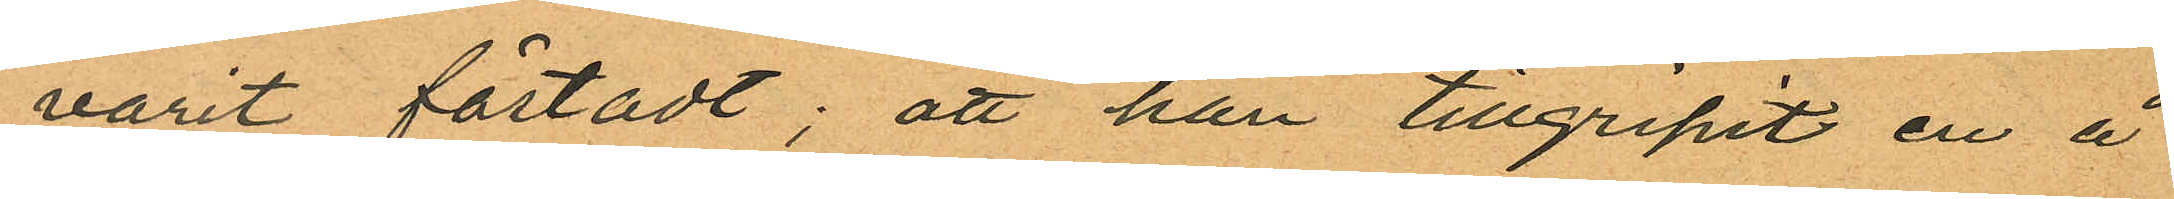varit fästadt; att han tillgripit en å
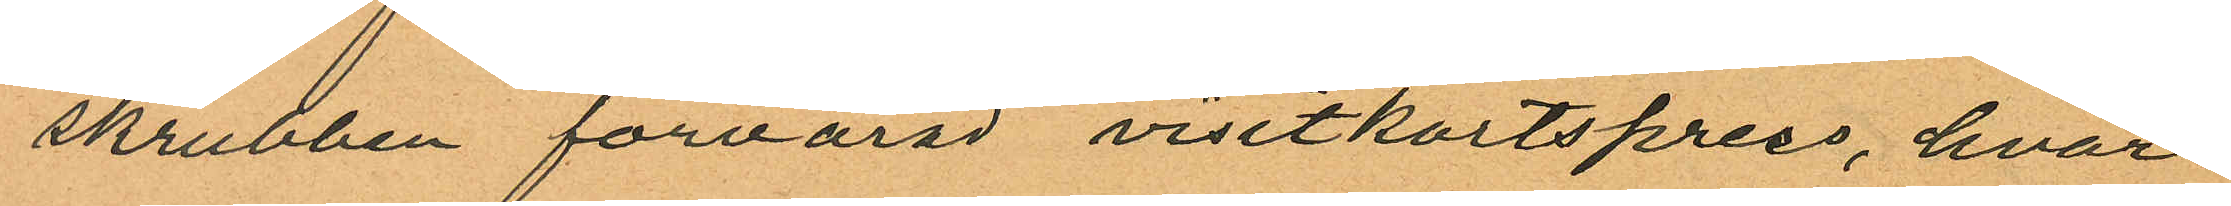skrubben förvarad visitkortspress, hvar¬
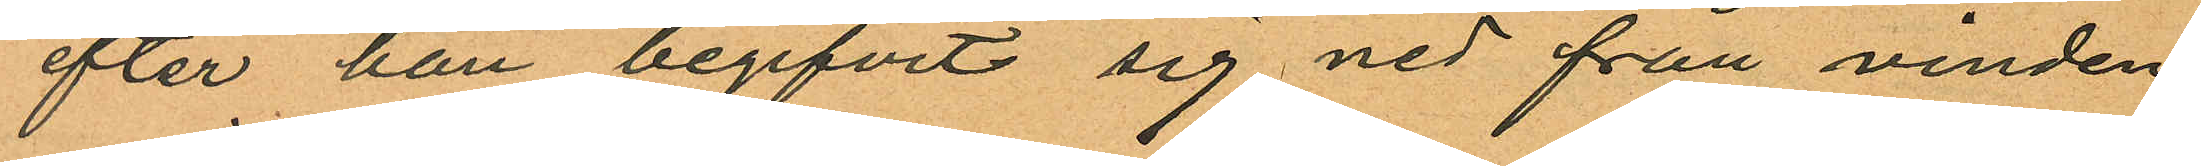efter han begifvit sig ned från vinden
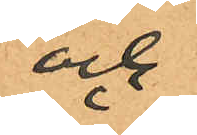och
